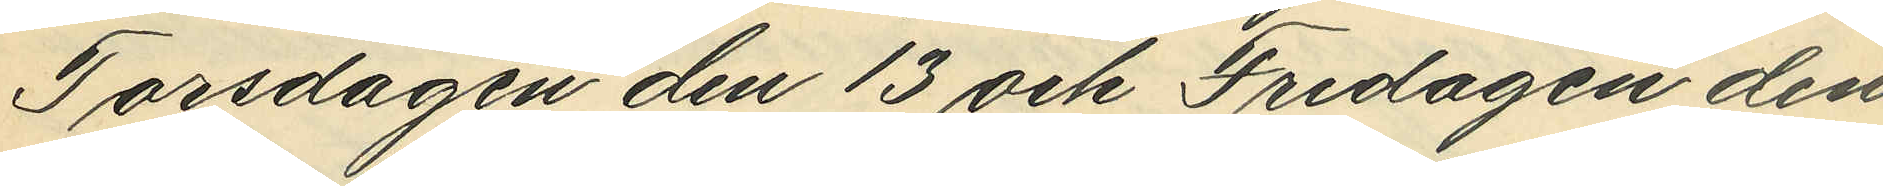Torsdagen den 13 och Fredagen den
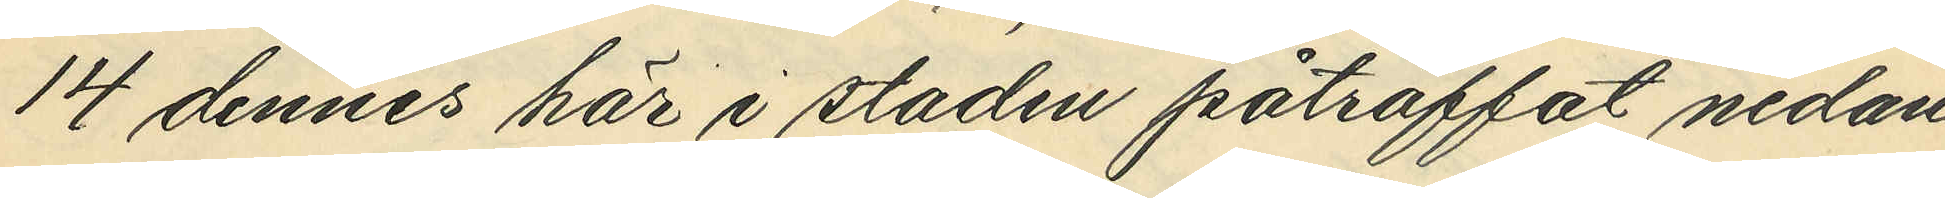14 dennes här i staden påträffat nedan
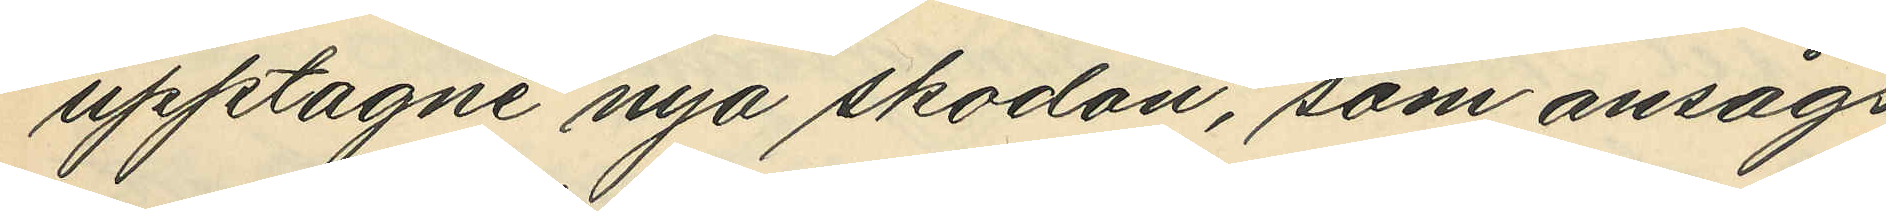upptagne nya skodon, som ansågs
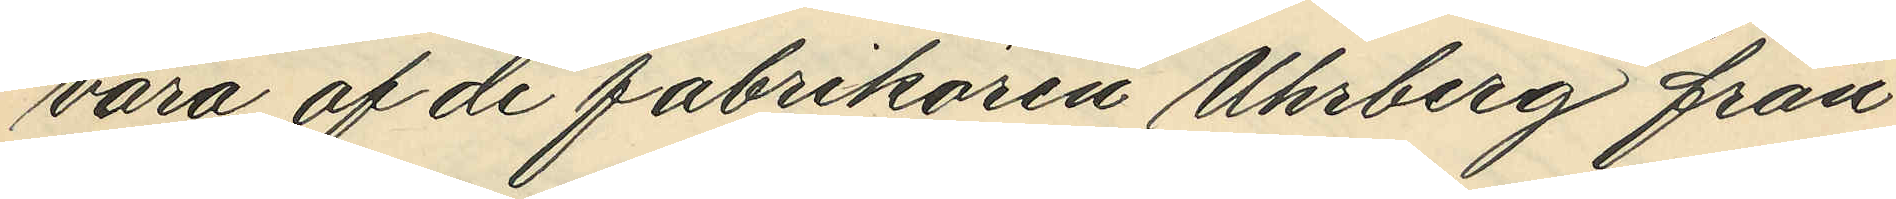vara af de fabrikören Uhrberg från¬
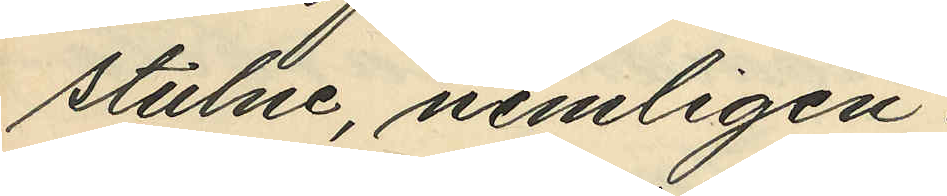stulne, nemligen:
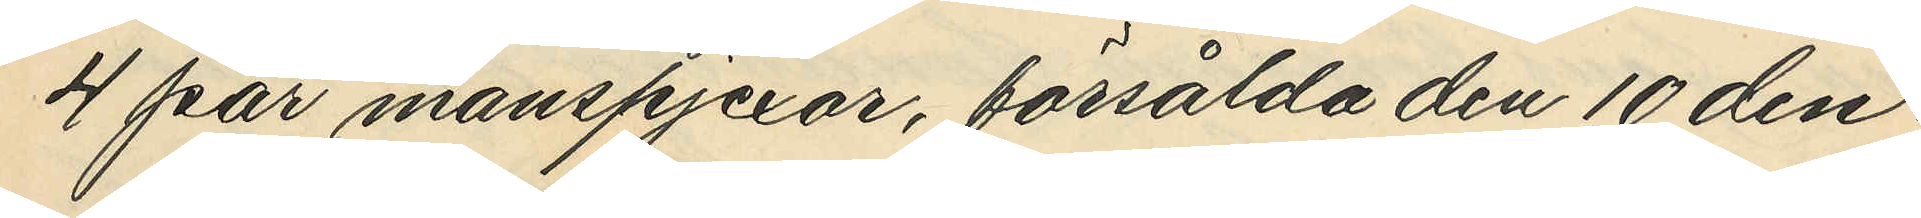4 par manspjexor, försålda den 10 den¬
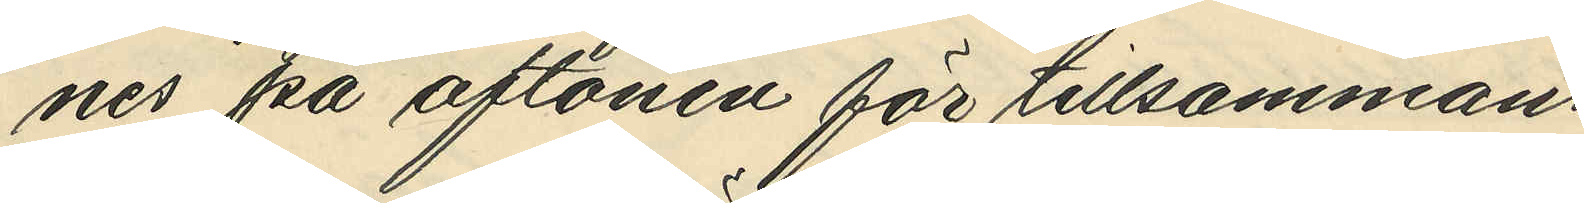nes på aftonen för tillsammans
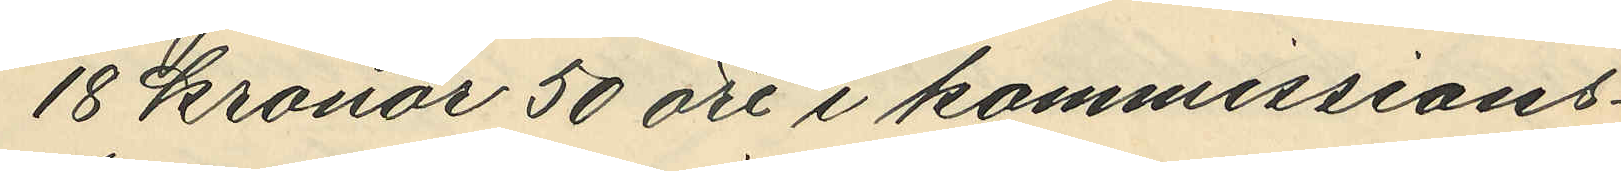18 kronor 50 öre i kommissions¬
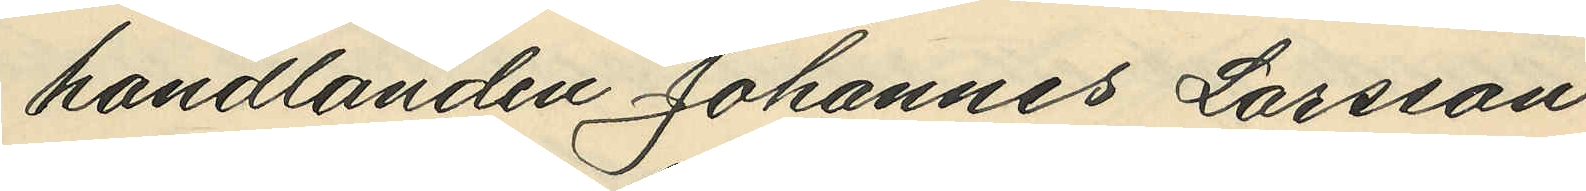handlanden Johannes Larsson
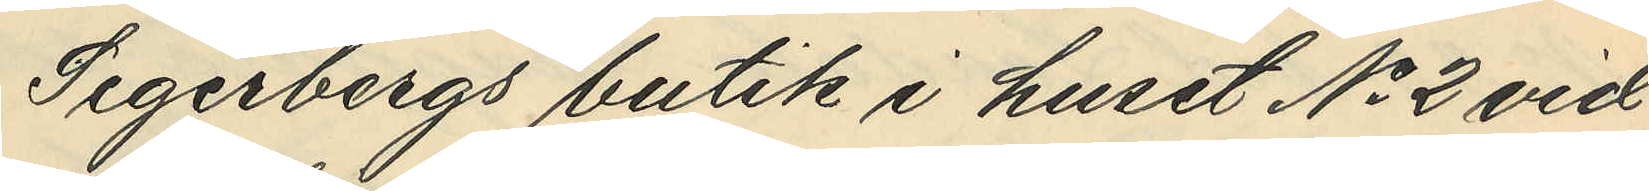Segerbergs butik i huset No 2 vid
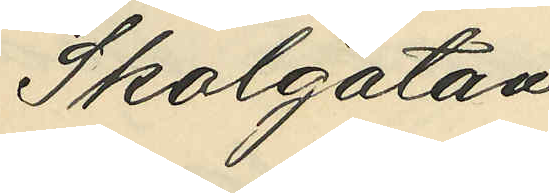Skolgatan.
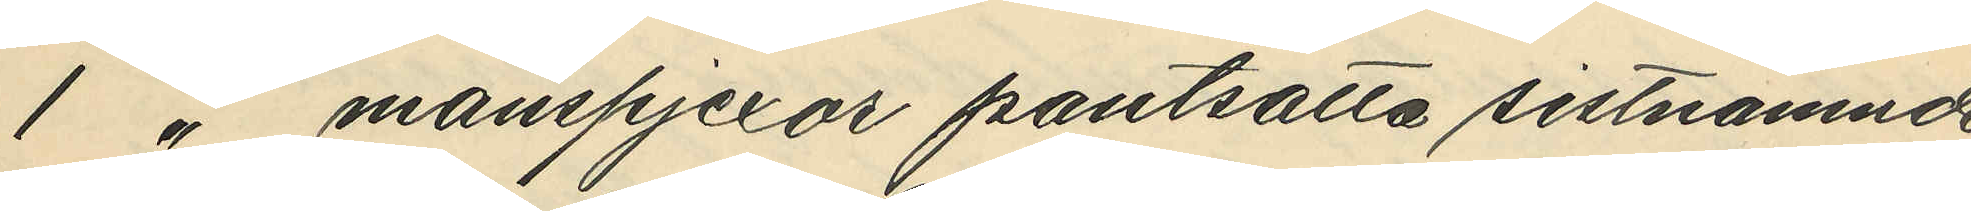1 " manspjexor pantsatta sistnämde
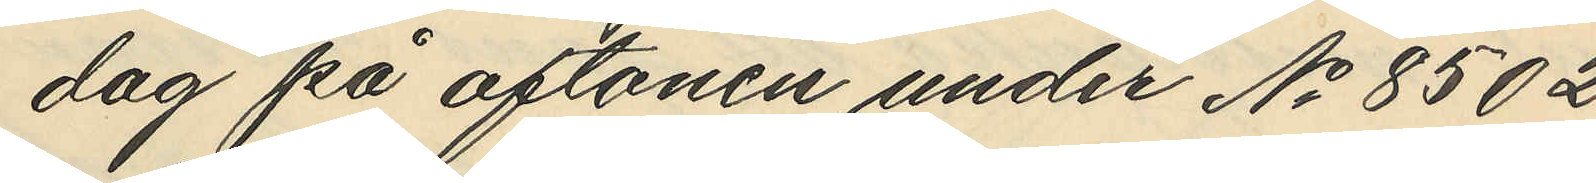dag på aftonen under No 8502
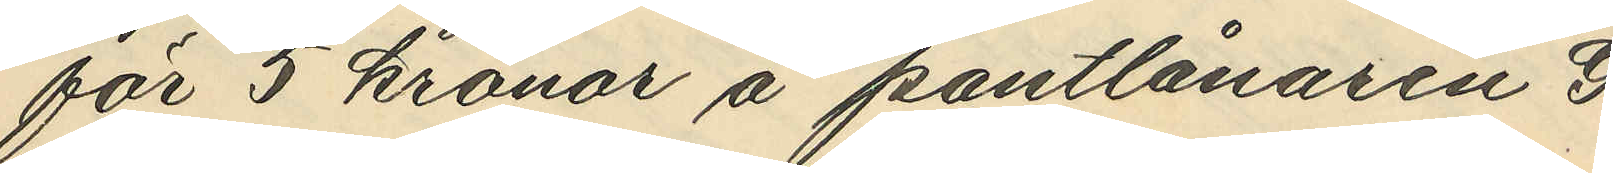för 5 kronor på pantlånaren G.
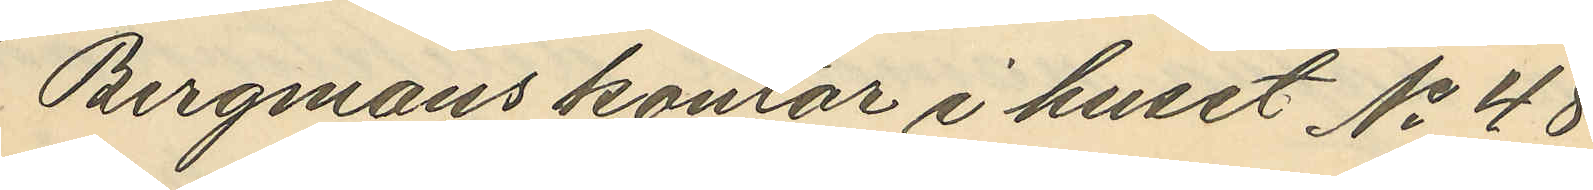Bergmans kontor i huset No 48
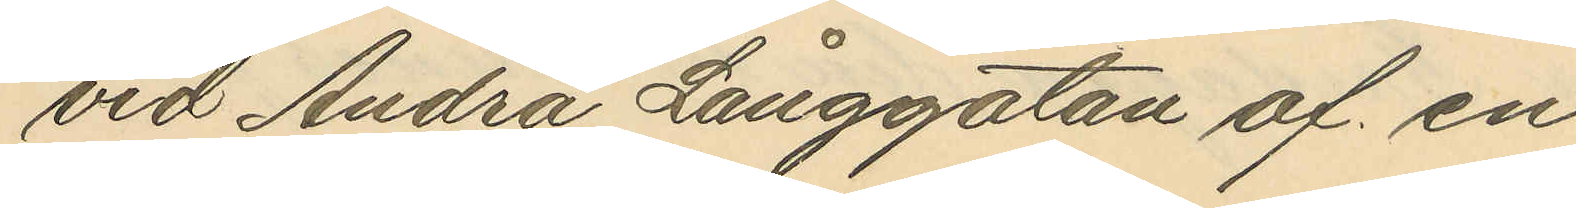vid Andra Långgatan af en
